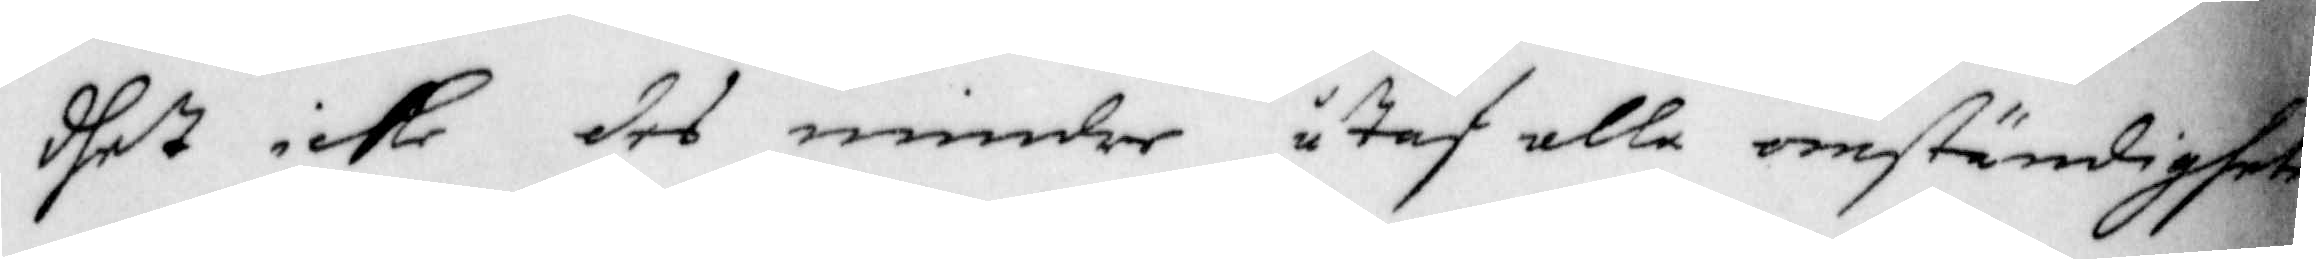dhet icke des mindre utaf alla omständigheter
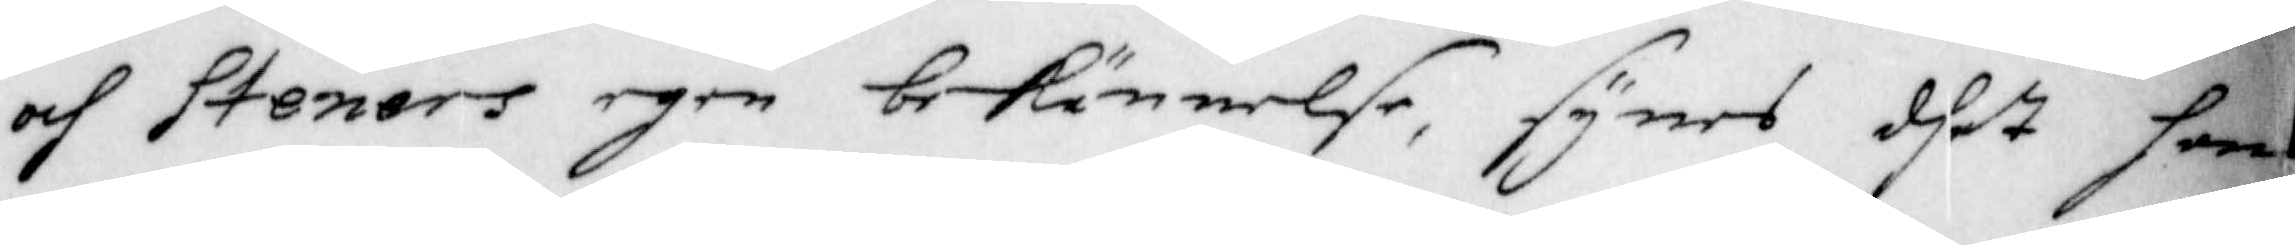och Steners egen bekännelse, synes dhet han
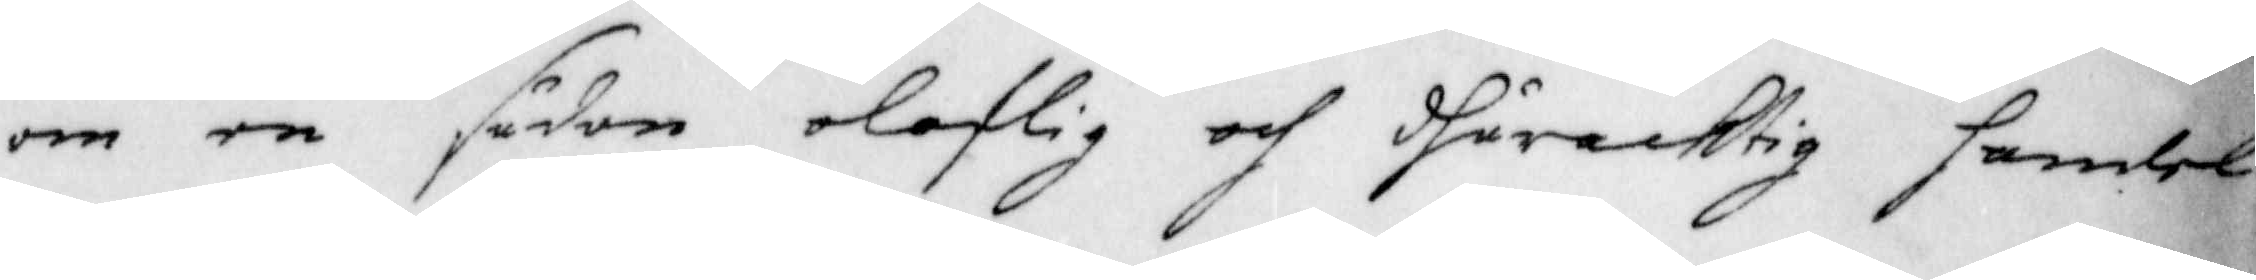om en sådan oloflig och dhåracktig handel
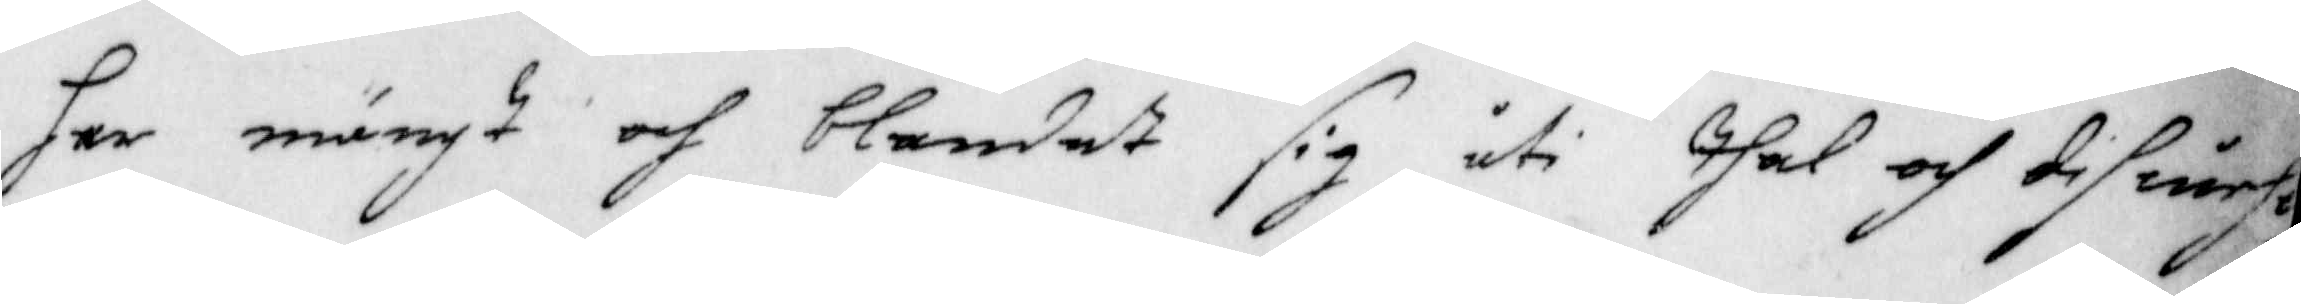har mängt och blandat sig uti thal och difuerse
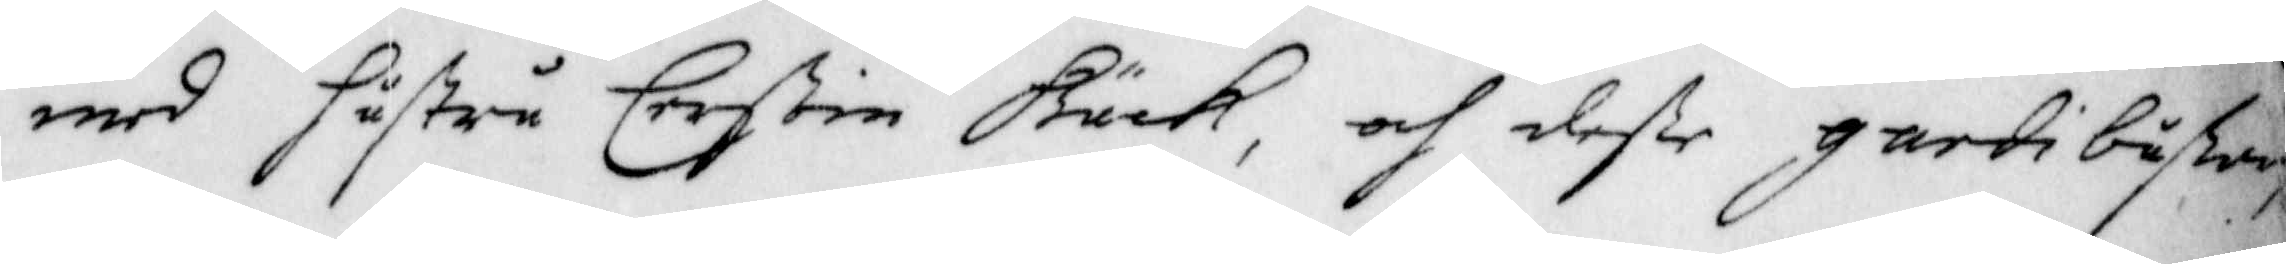med hustru Cerstin Bäck, och desse gardi bußar,
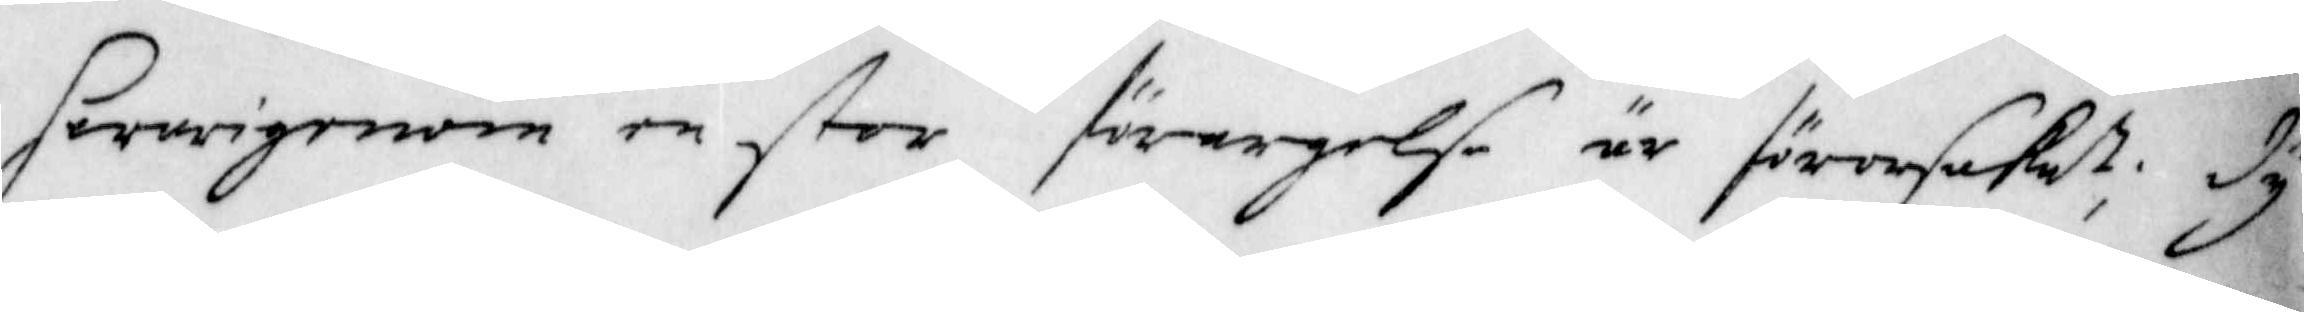hwarigenom en stor förargelse är förorsakat; Dy
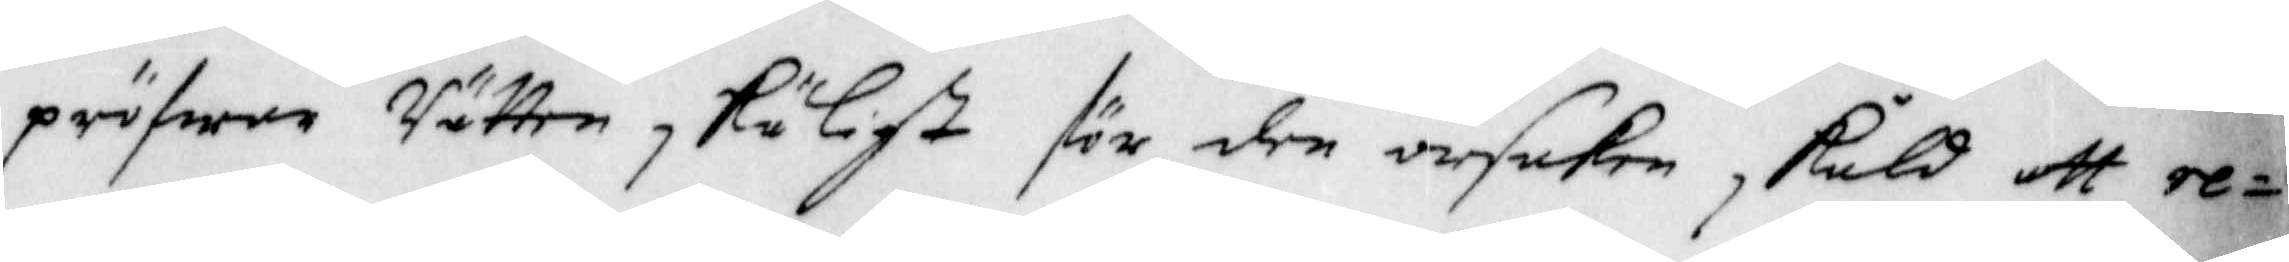pröfwar Rätten skäligt för den orsaken skuld att re¬
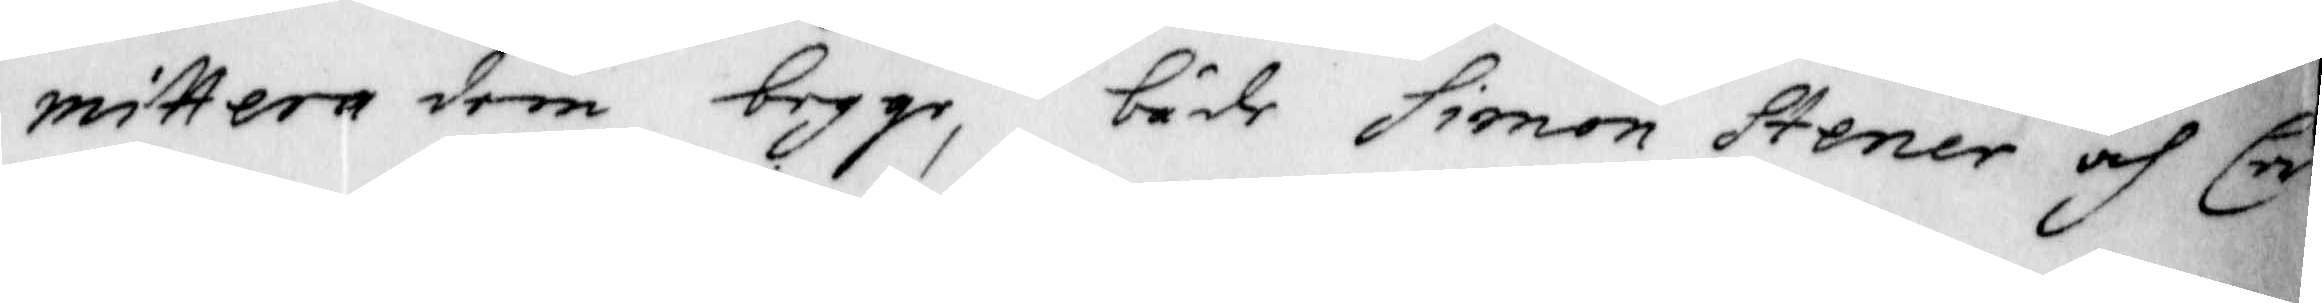mittera dem begge, både Simon Stener och Cer¬
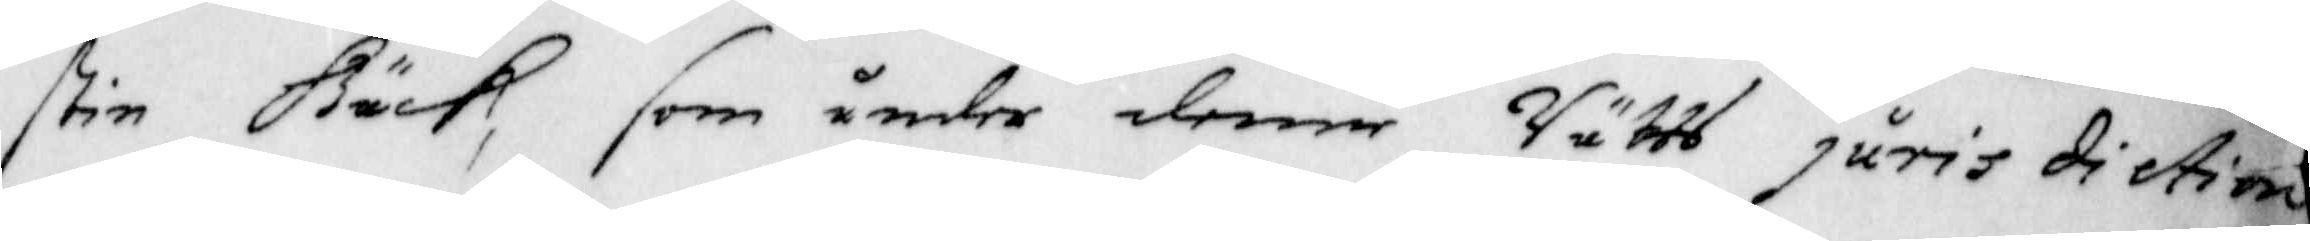stin Bäck, som under denne Rätts jurisdiction
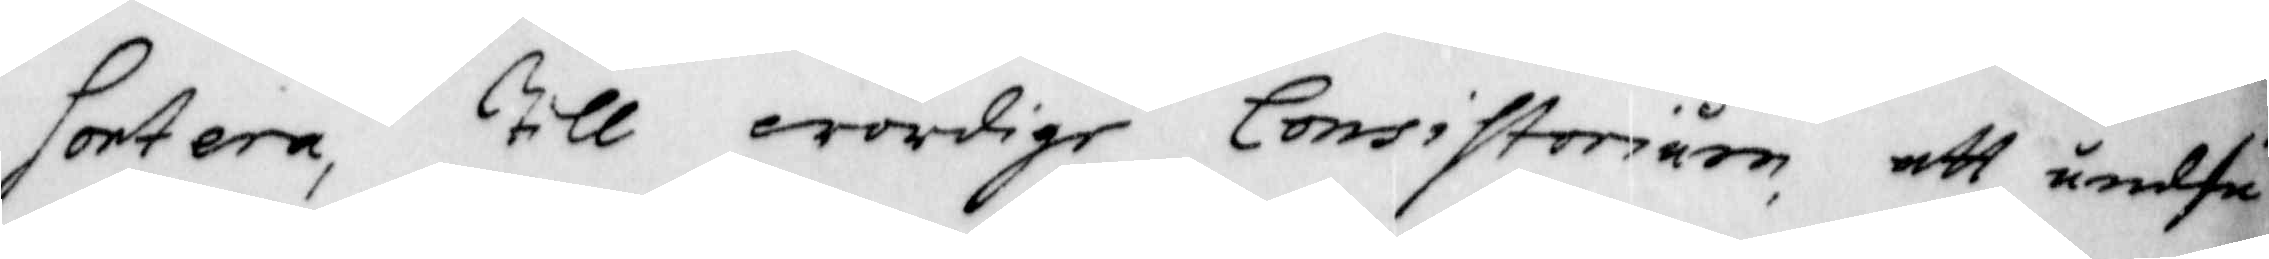sortera, till wördige Consistorium, att undfå
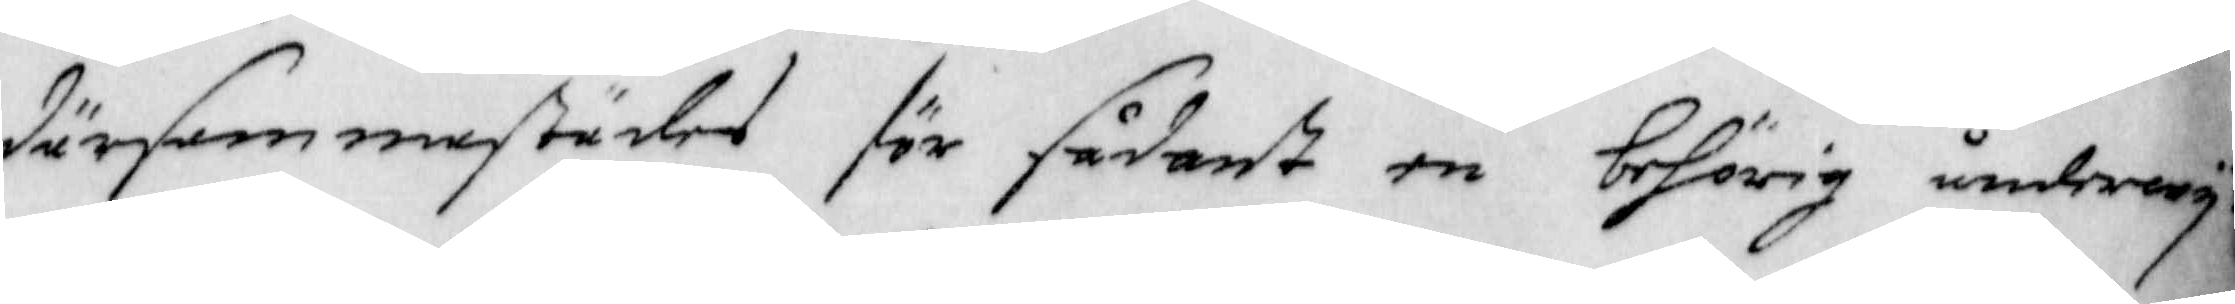därsammastädes för sådant en behörig underwij¬
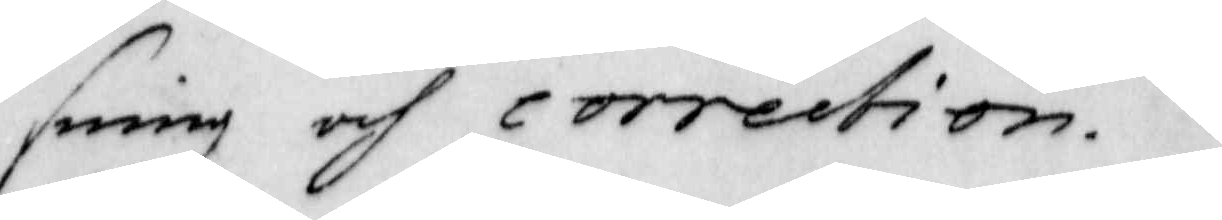sning och correction.
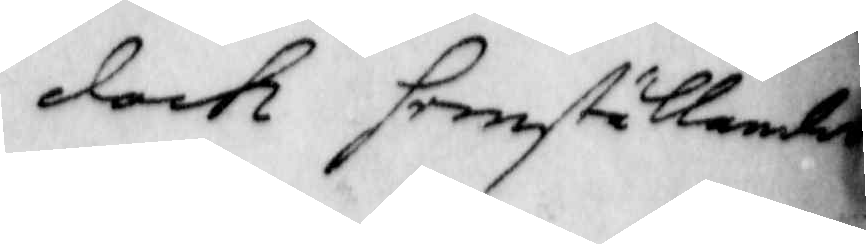Dock hemställandes
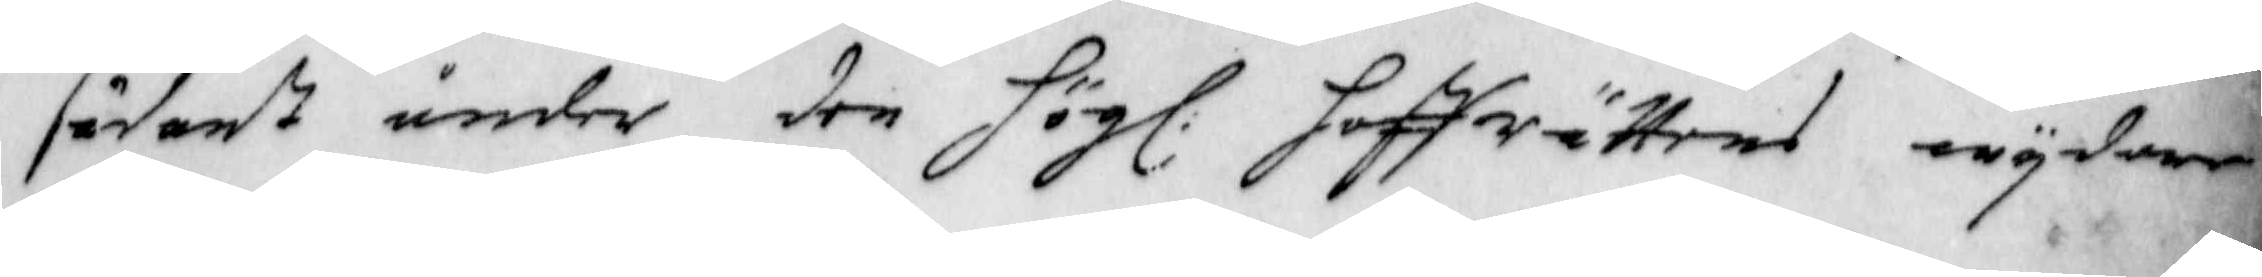sådant under den Hög: Hoff Rättens wijdare
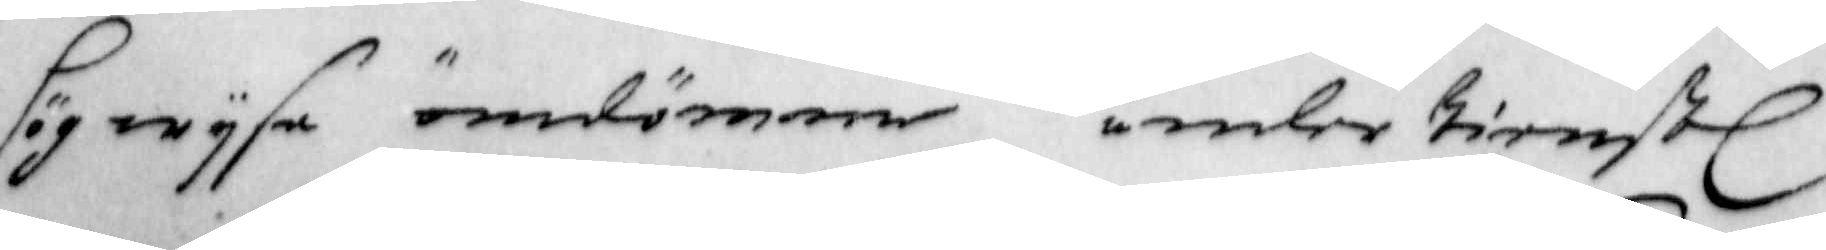högwijsa omdömme under tienst.
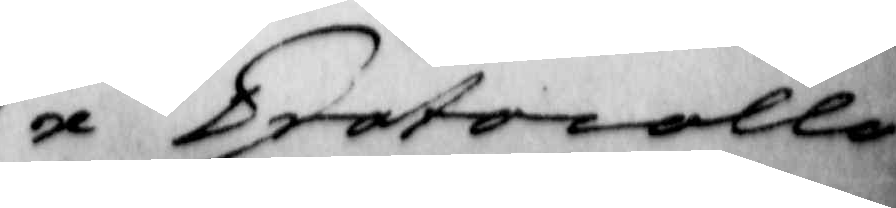Ex Protocollo
